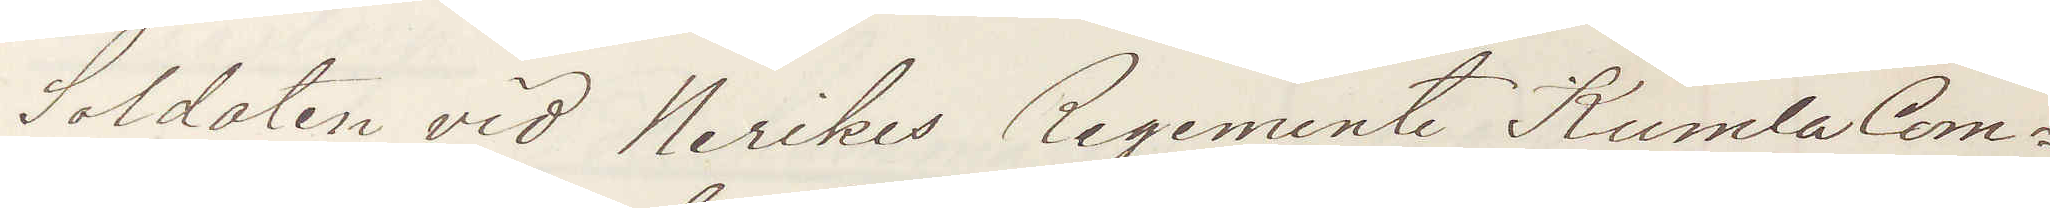Soldaten vid Nerikes Regemente Kumla Com¬
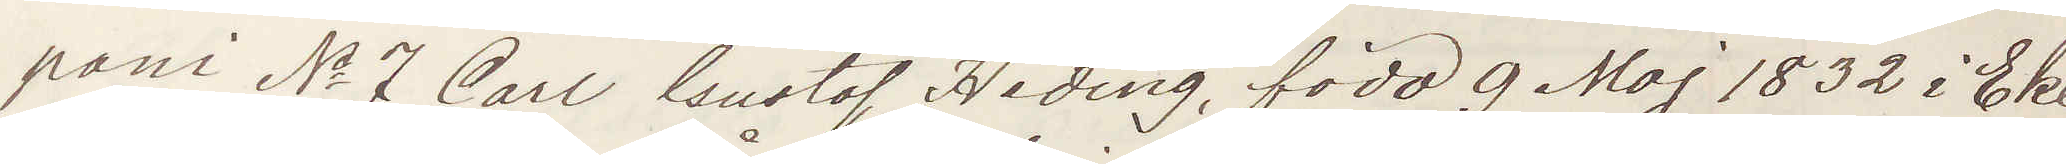pani No 7 Carl Gustaf Heding född 9 Maj 1832 i Eke¬
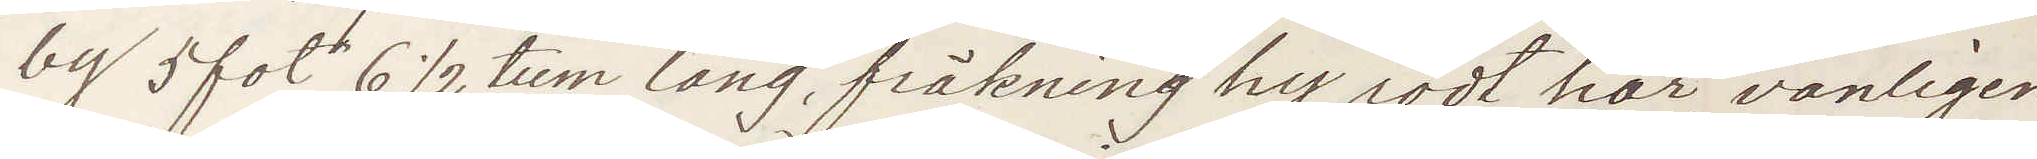by 5 fot 6½ tum lång fräkning hy, rödt hår, vanligen
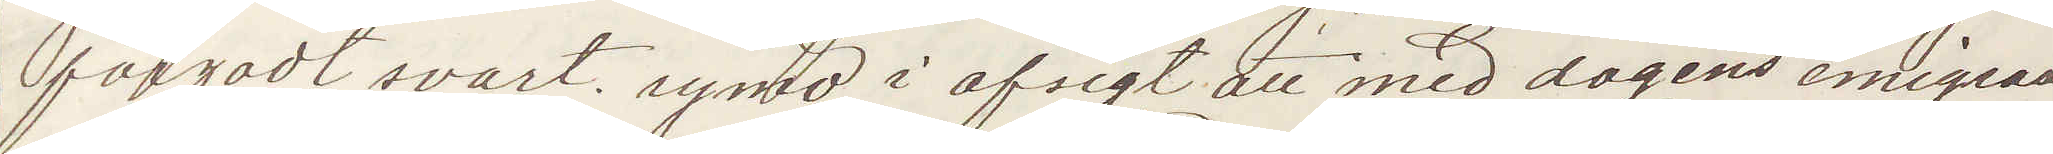färgadt svart; rymd i afsigt att med dagens emigrant¬
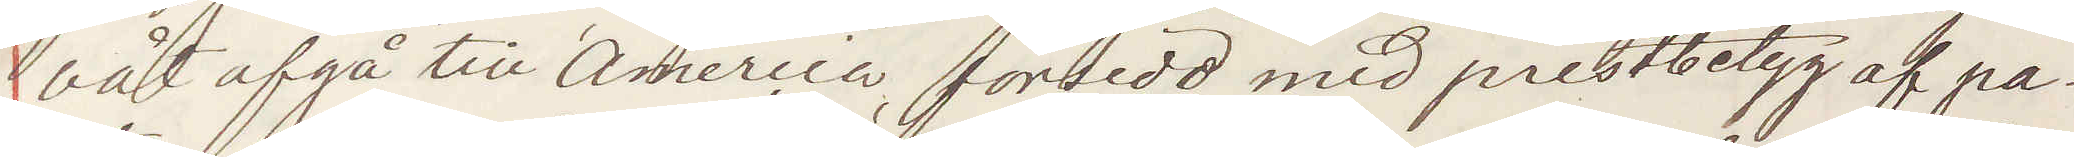båt afgå till America, försedd med prestbetyg af pa¬
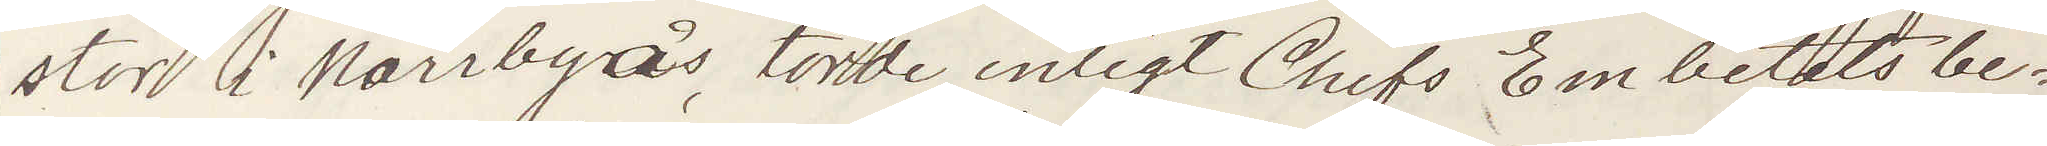stor i Norrbyås, torde enligt Chefs Embetets be¬
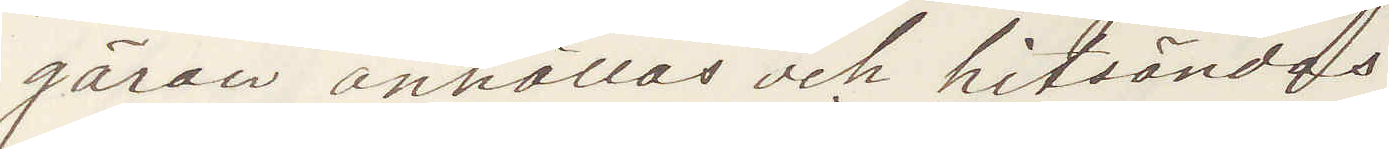gäran anhållas och hitsändas:
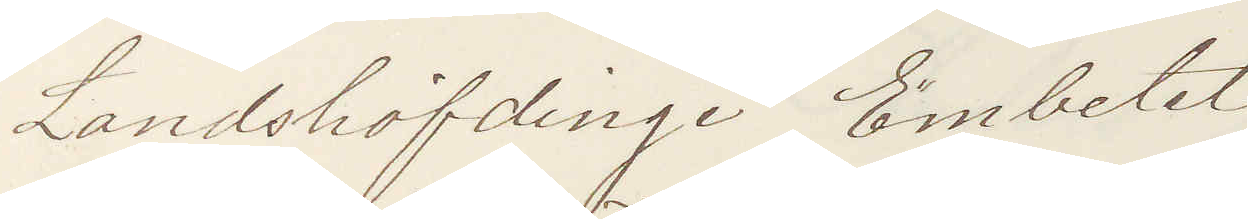Landshöfdinge Embetet
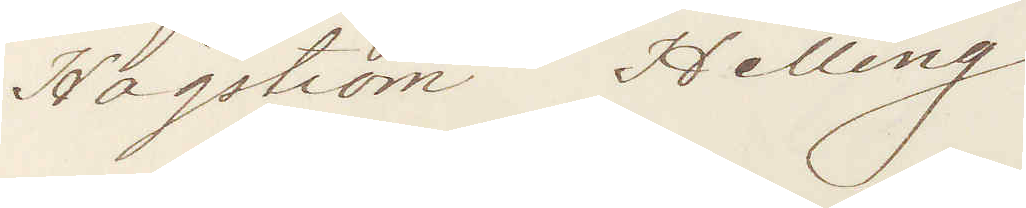Hägström Helling
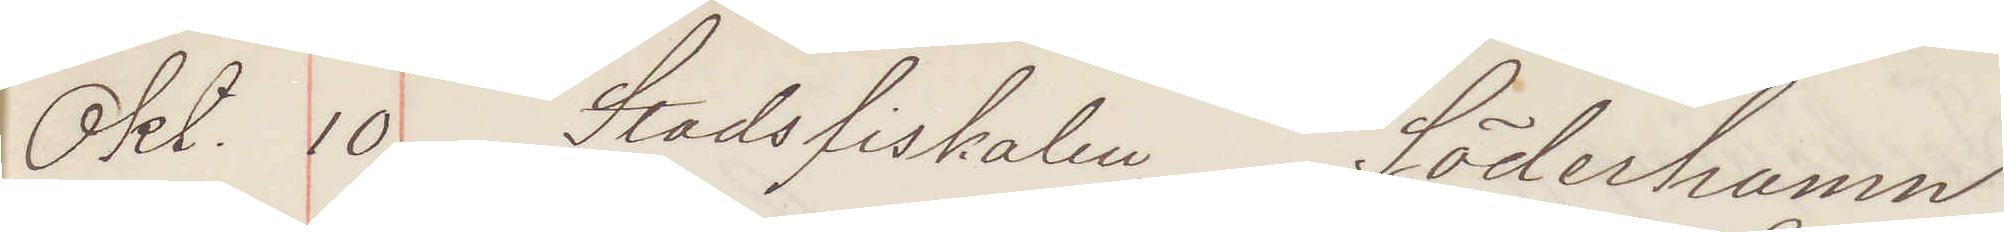Okt. 10. Stadsfiskalen Söderhamn
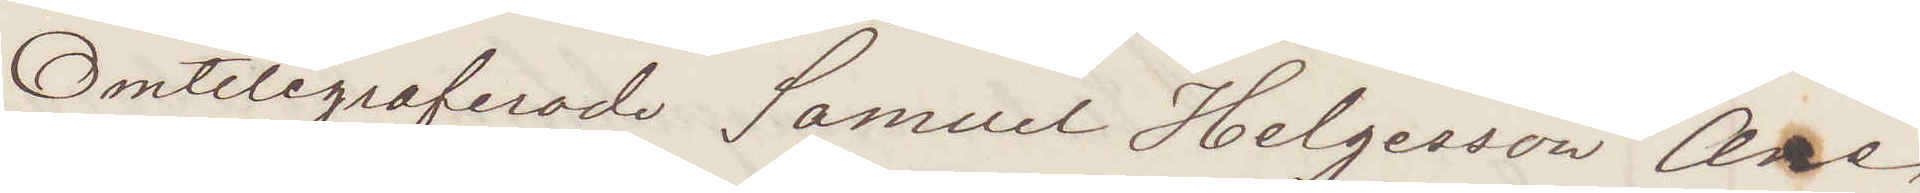Omtelegraferade Samuel Helgesson Ane,
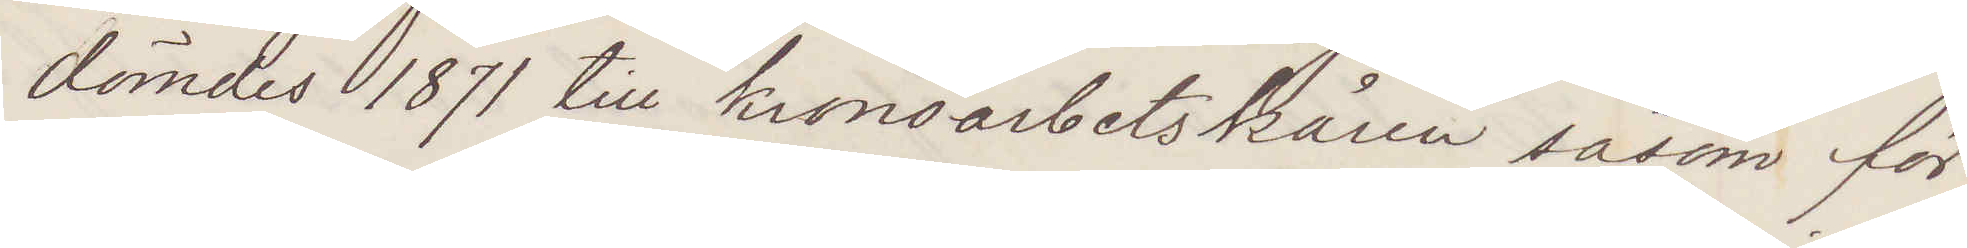dömdes 1871 till kronoarbetskåren såsom för¬
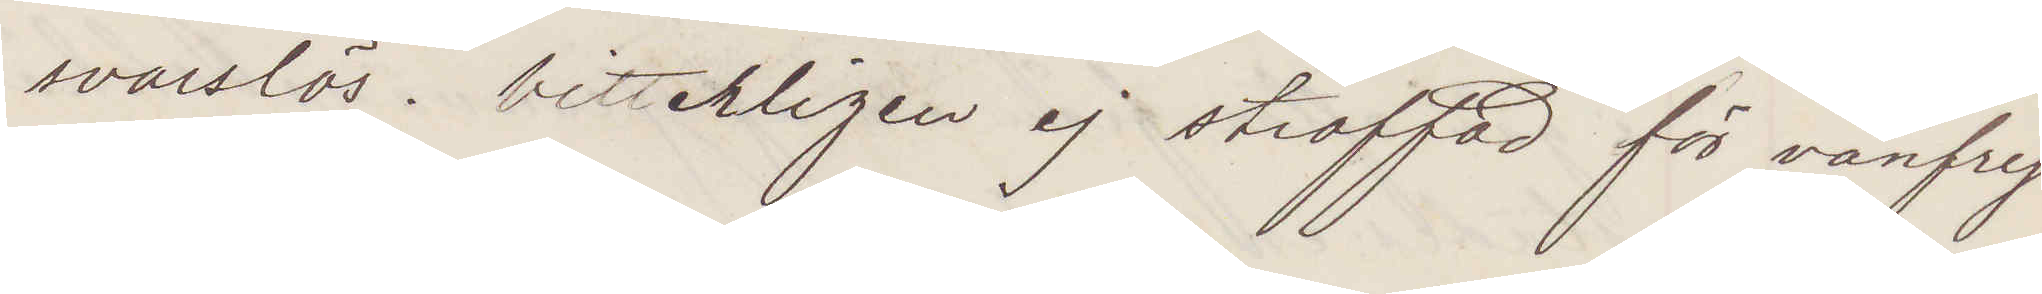svarslös. Vitterligen ej straffad för vanfrej¬
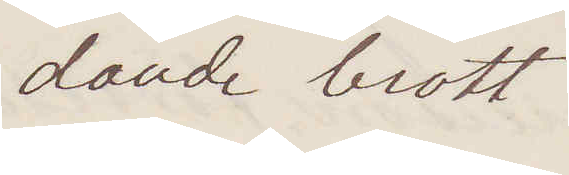dande brott.
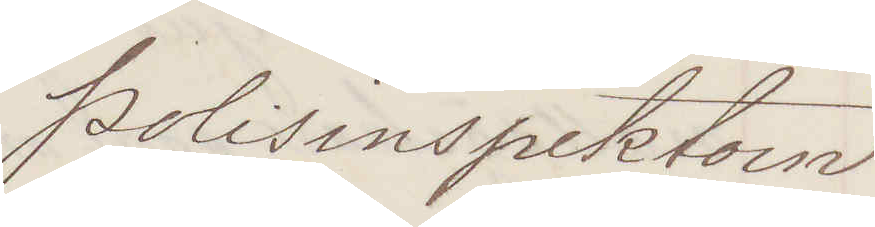Polisinspektorn
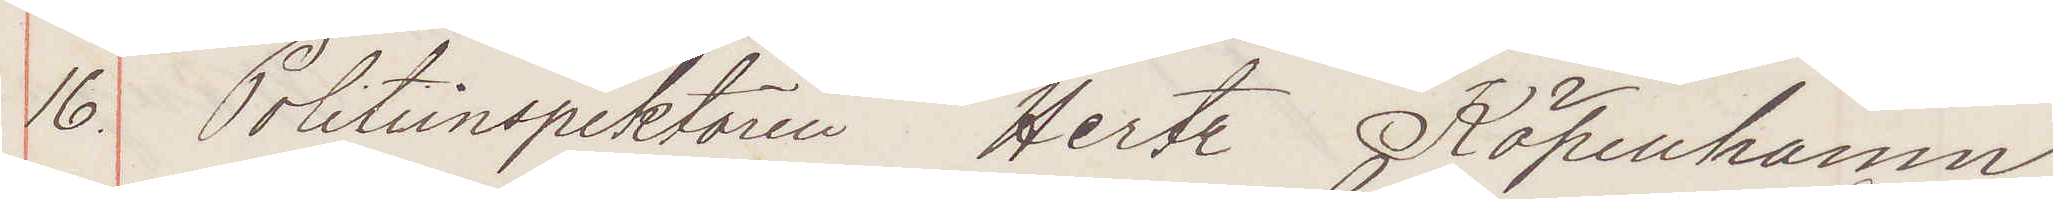16. Politidirektören Hertz Köpenhamn.
